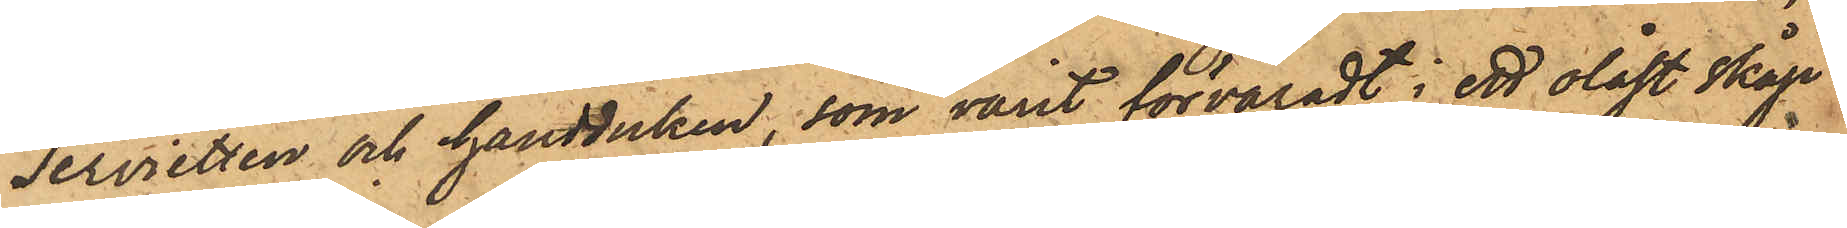servietten och handduken, som varit förvaradt i ett olåst skåp
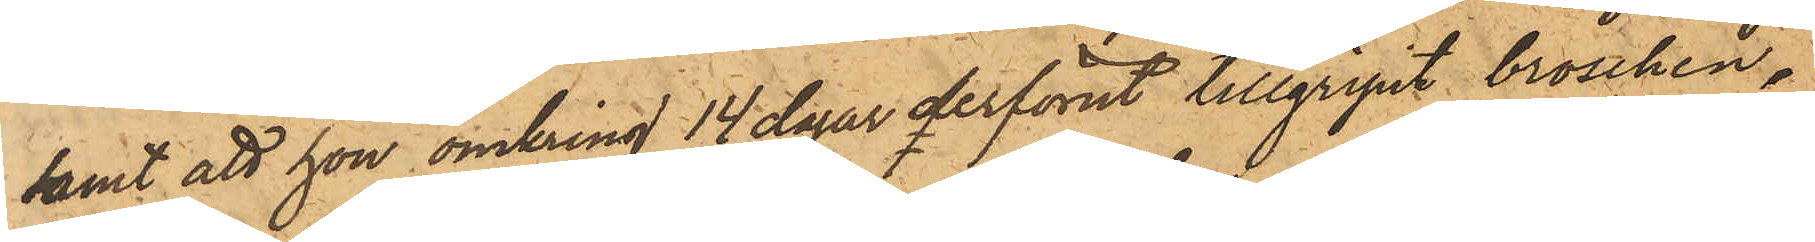samt att hon omkring 14 dagar derförut tillgripit broschen,
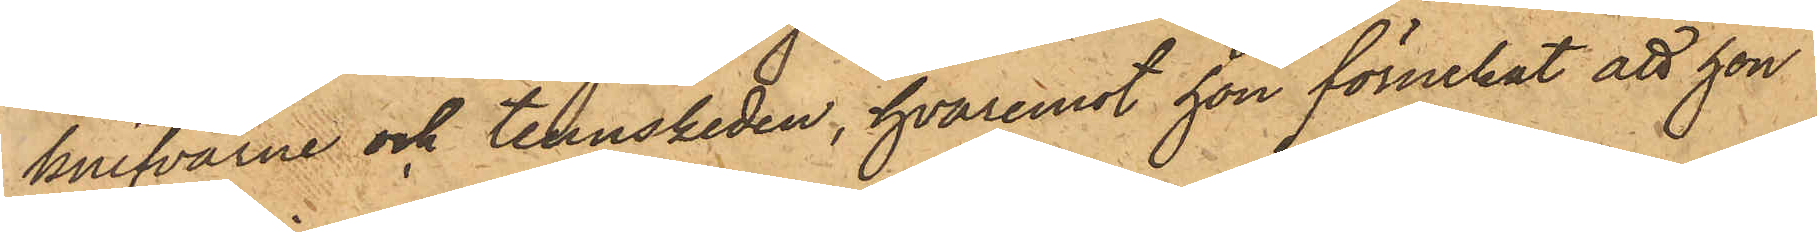knifvarne och tennskeden, hvaremot hon förnekat att hon
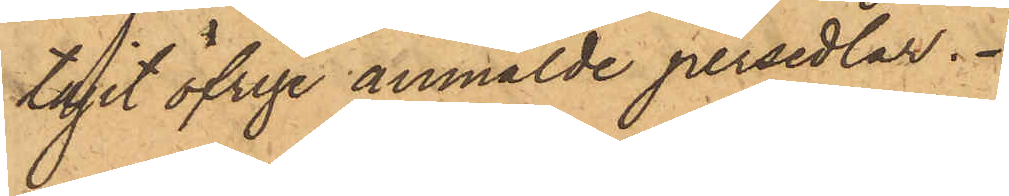tagit öfrige anmälde persedlar.
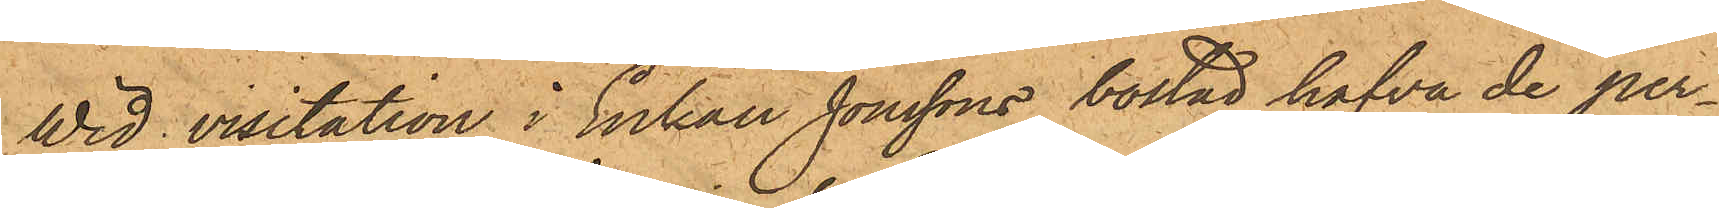Wid visitation i Enkan Jonssons bostad hafva de per¬
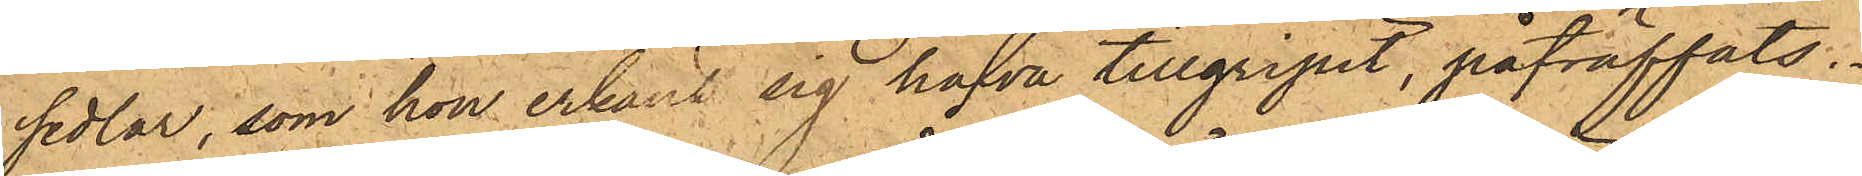sedlar, som hon erkänt sig hafva tillgripit, påträffats.
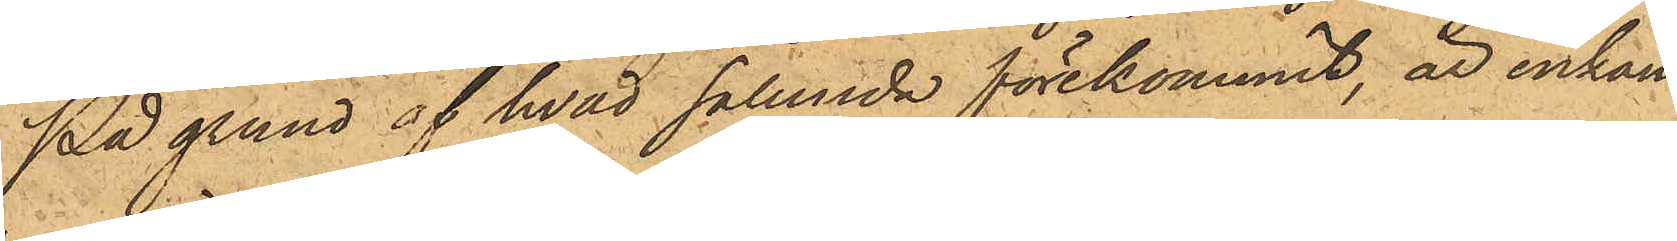På grund af hvad sålunda förekommit, är enkan
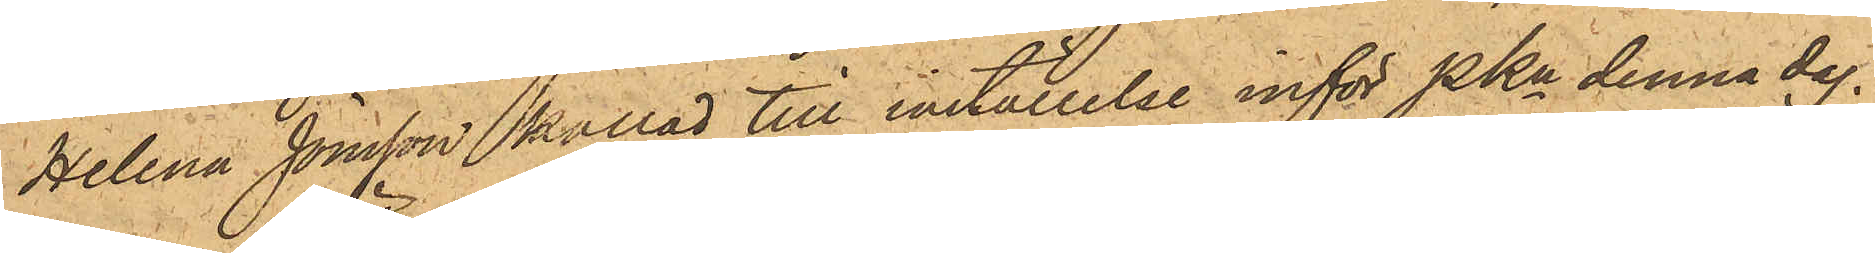Helena Jonsson kallad till inställelse inför PKn denna dag.
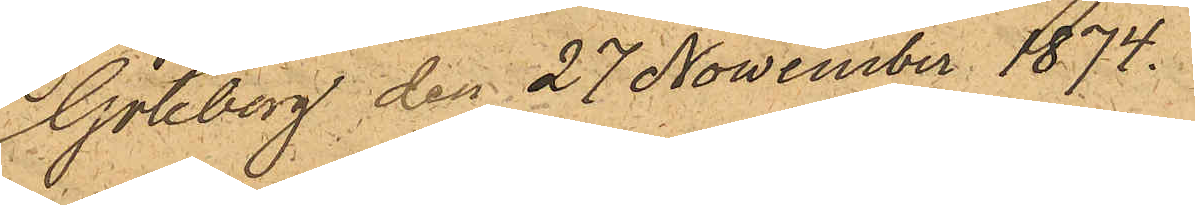Göteborg den 27 November 1874.
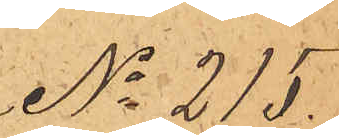No 215.
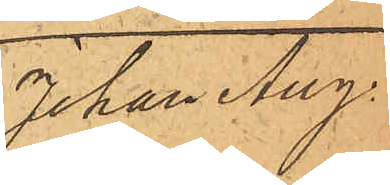Johan Aug.
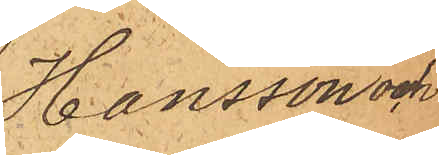Hansson och
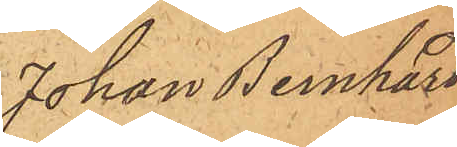Johan Bernhard
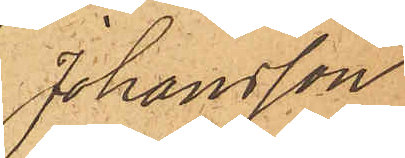Johansson
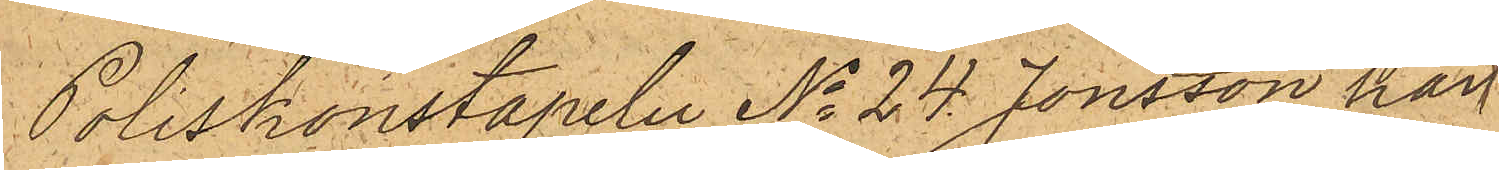Poliskonstapeln No 24 Jonsson har
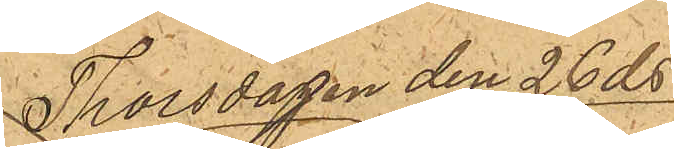Thorsdagen den 26 ds
